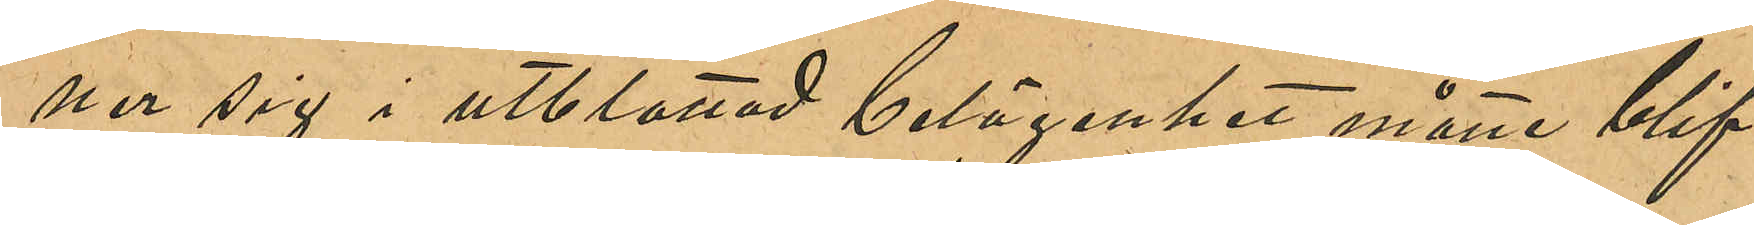ner sig i utblottad belägenhet måtter blif¬
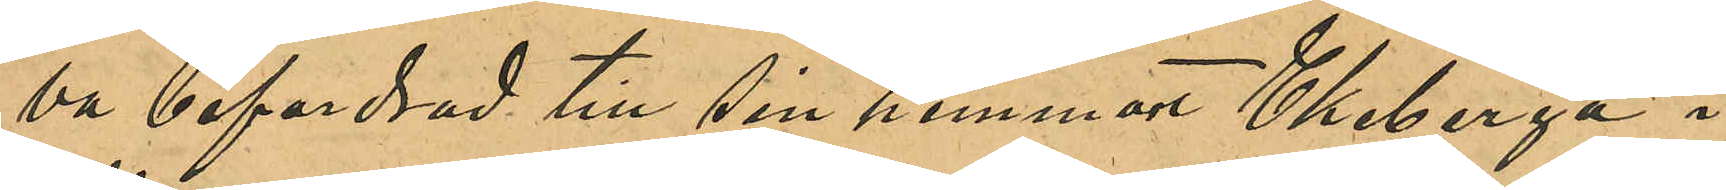va befordrad till sin hemmort Ekeberga i
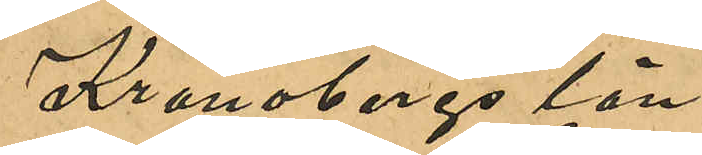Kronobergs län.
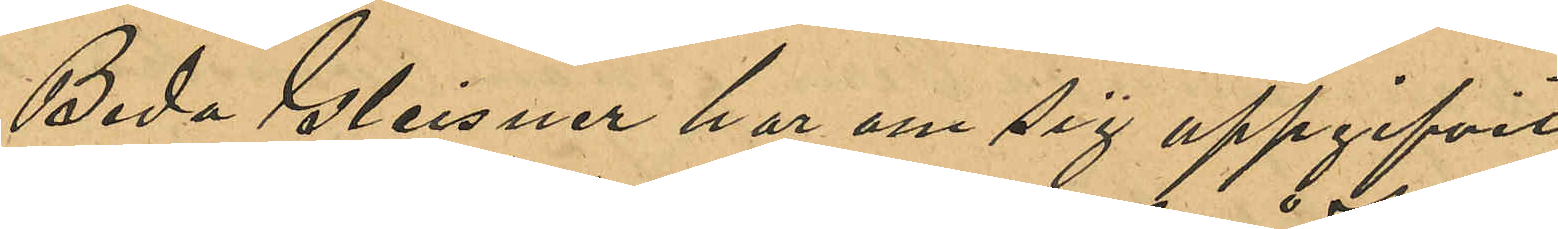Beda Gleisner har om sig uppgifvit
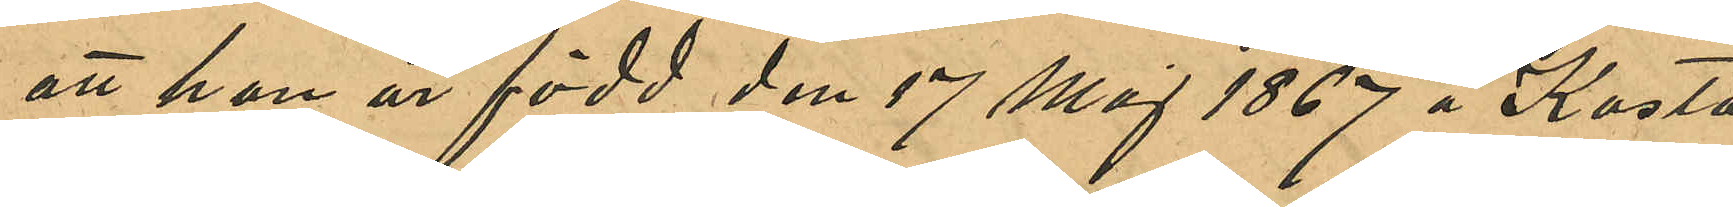att hon är född den 17 maj 1867 å Kosta
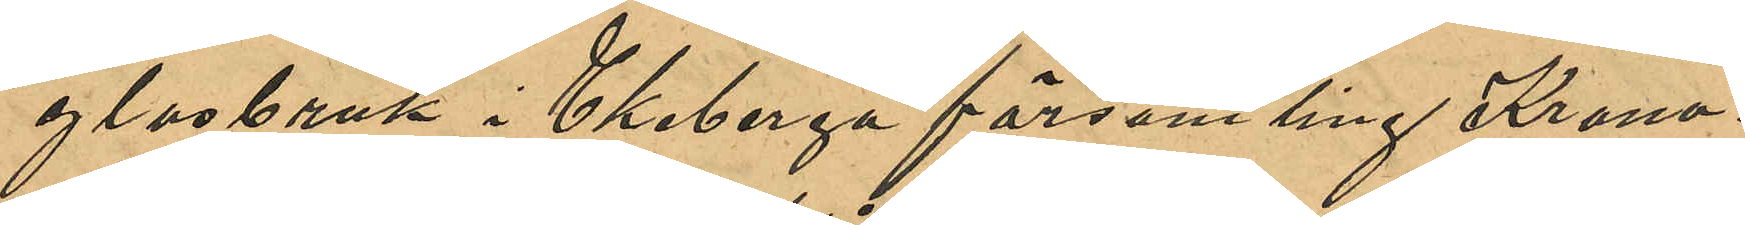glasbruk i Ekeberga församling Kron¬
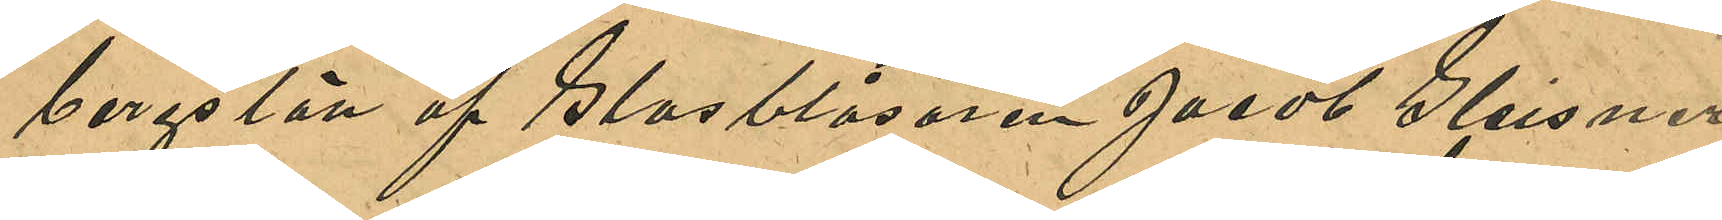bergs län af Glasblåsaren Jacob Gleisner
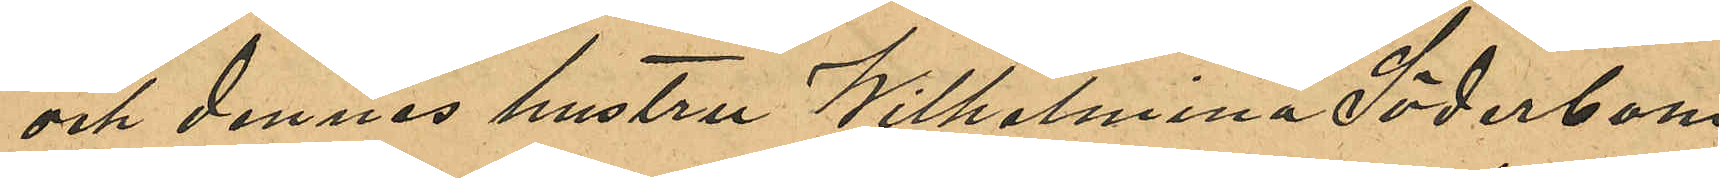och dennes hustru Wilhelmina Söderbom,
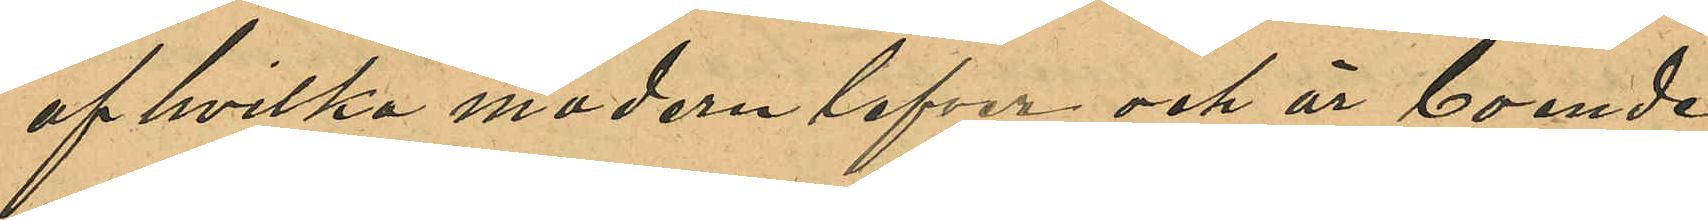af hvilka modern lefver och är boende
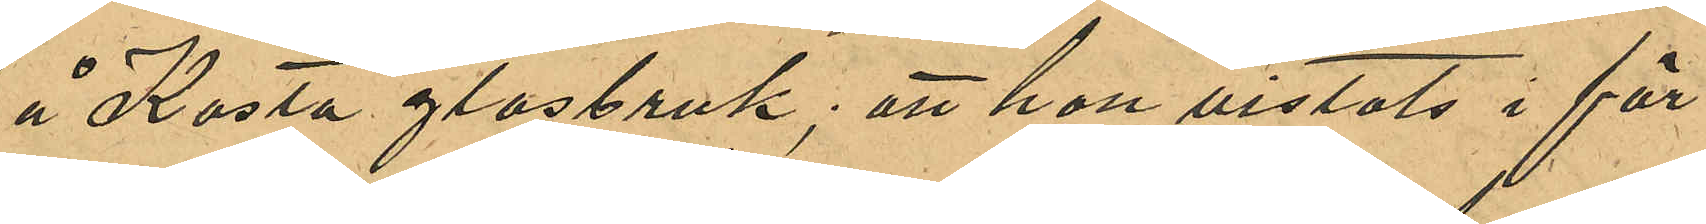å Kosta glasbruk; att hon vistats i för¬
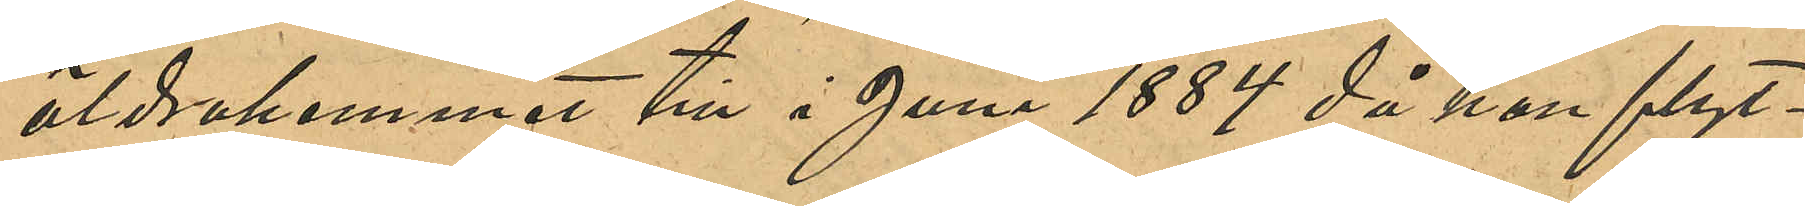äldrahemmet till i Juni 1884 då hon flyt¬
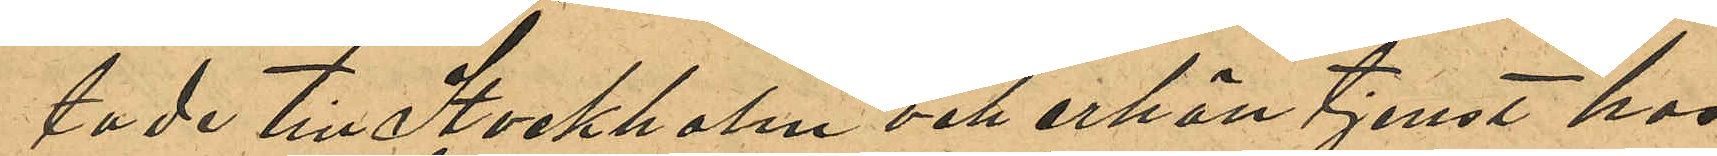tade till Stockholm och erhöll tjenst hos
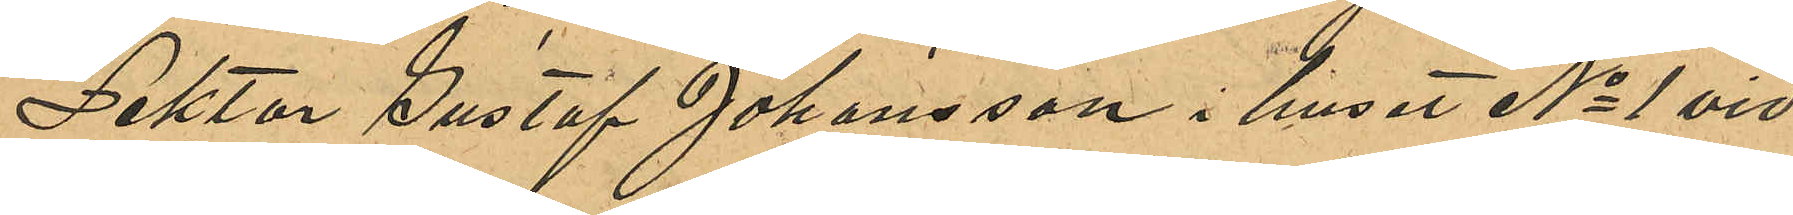Lektor Gustaf Johansson i huset No 1 vid
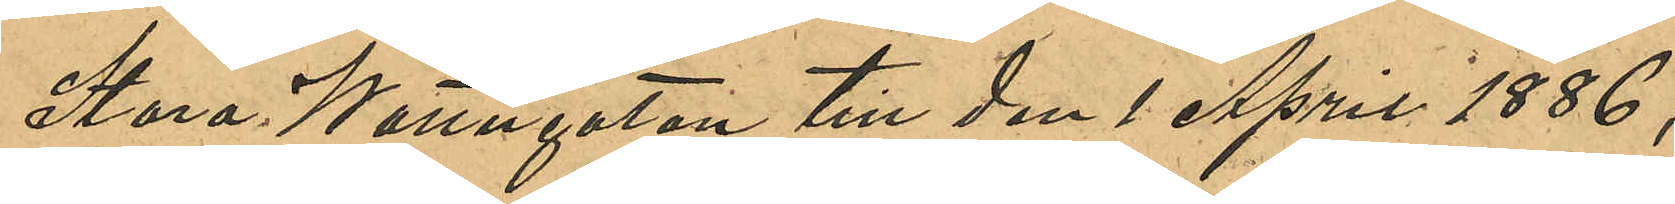Stora Wattugatan till den 1 April 1886;
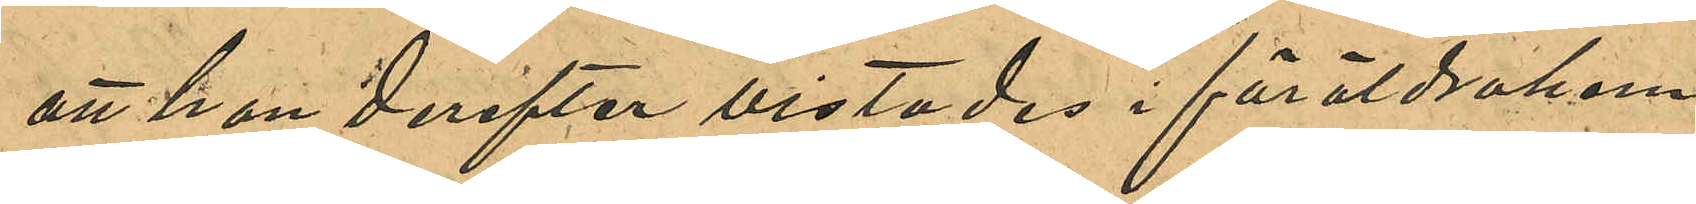att hon derefter vistades i föräldrahem¬
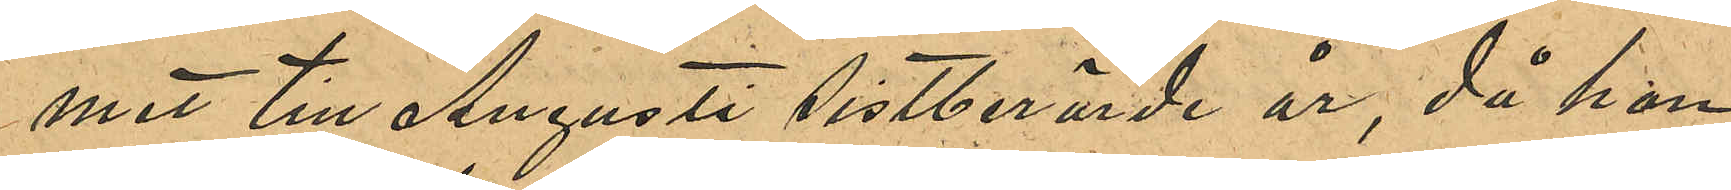met till Augusti sistlidne år, då hon
